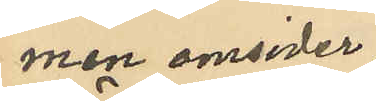men omsider
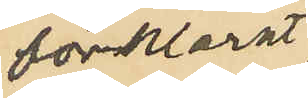förklarat
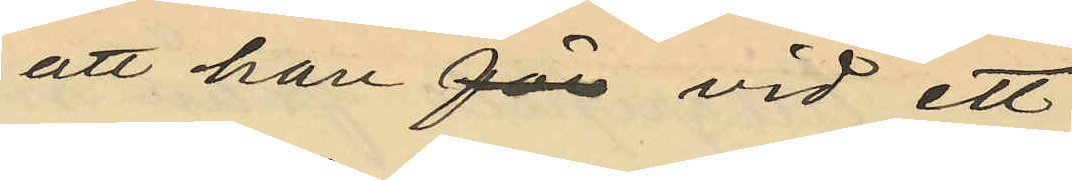att han för vid ett
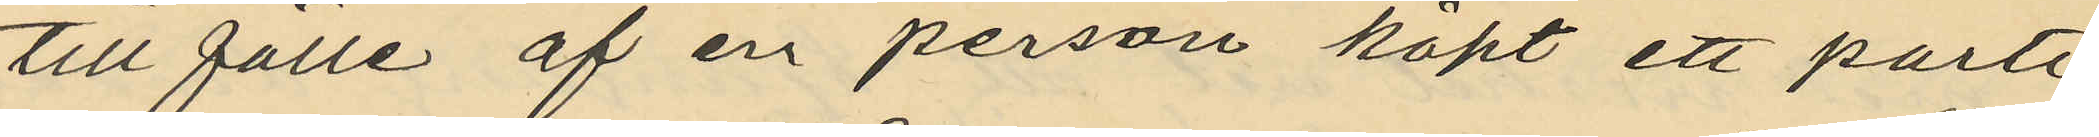till fälle af en person köpt ett parti
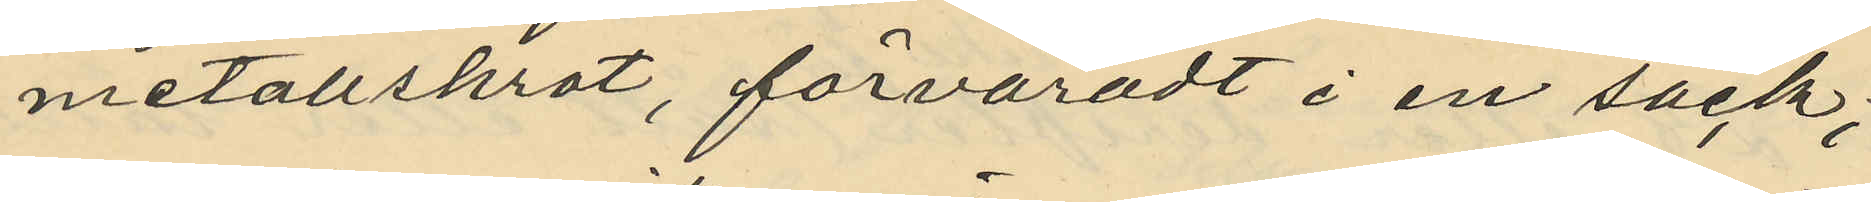metallskrot, förvaradt i en säck;
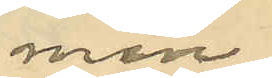men
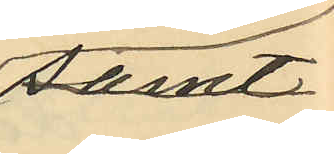samt
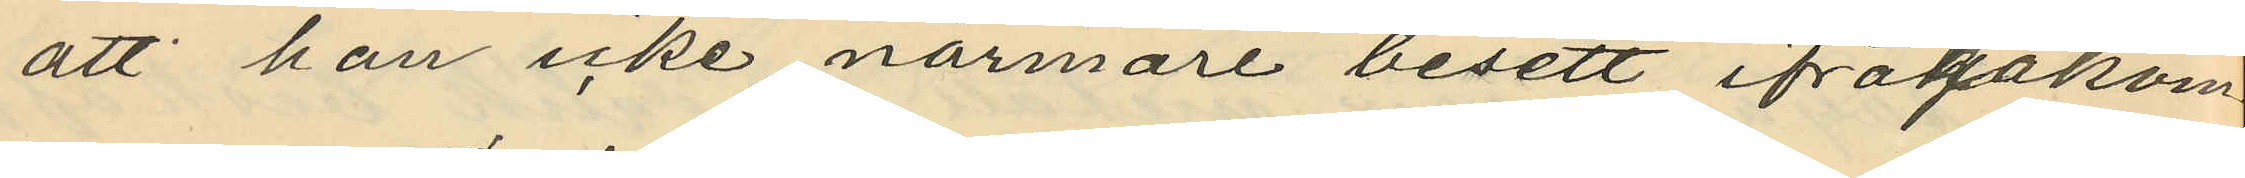att han icke närmare besett ifrågakom
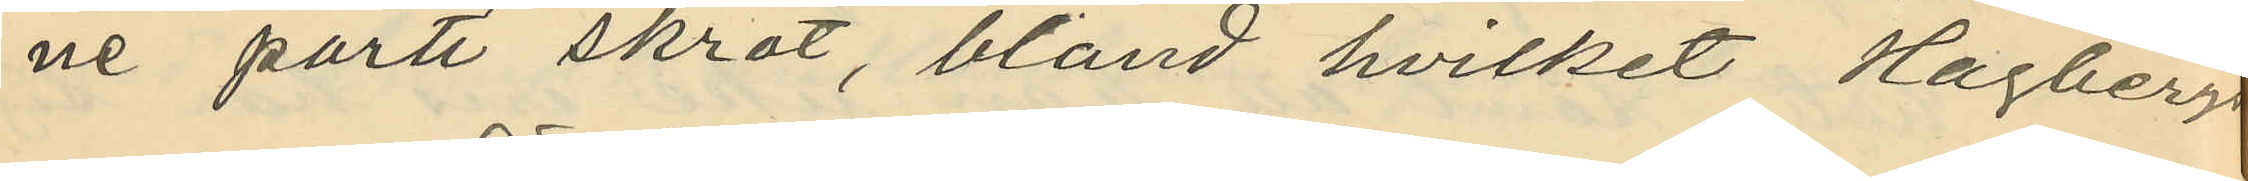ne parti skrot, bland hvilket Hagbergs
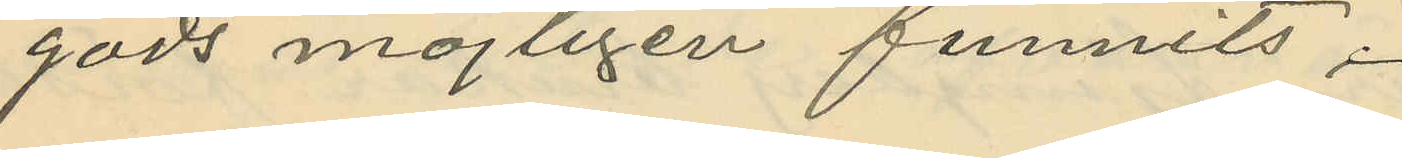gods möjligen funnits;
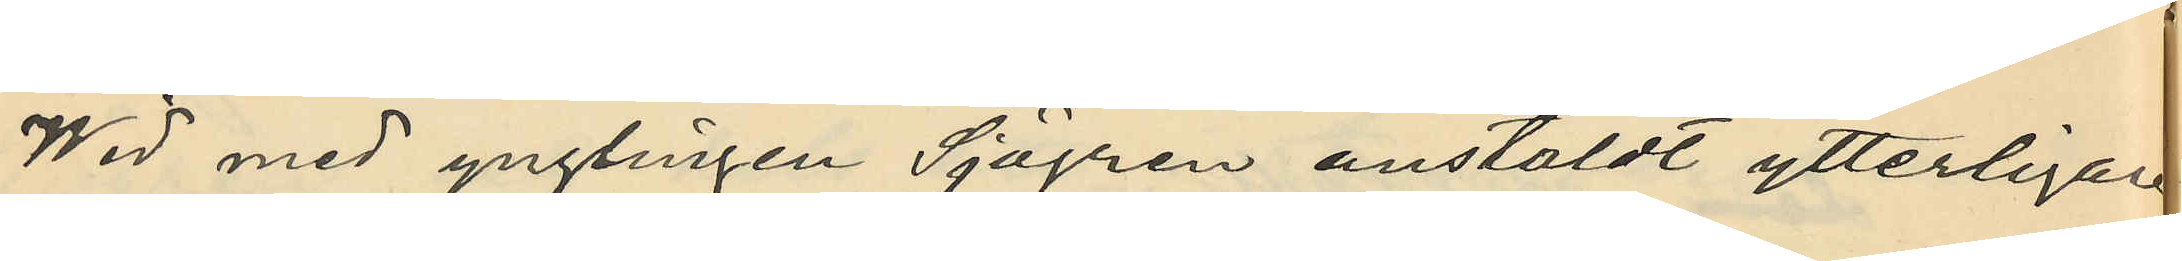Wid med ynglingen Sjögren anstäldt ytterligare
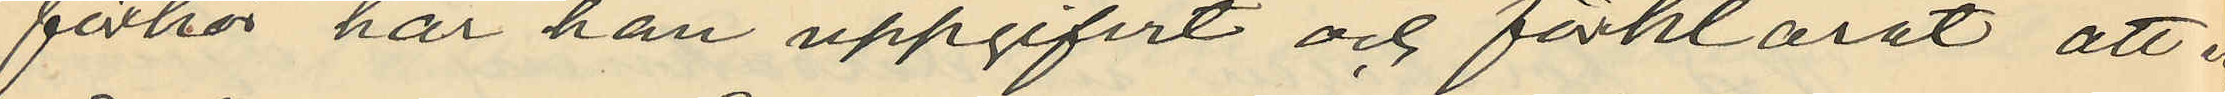förhör har han uppgifvit och förklarat att en
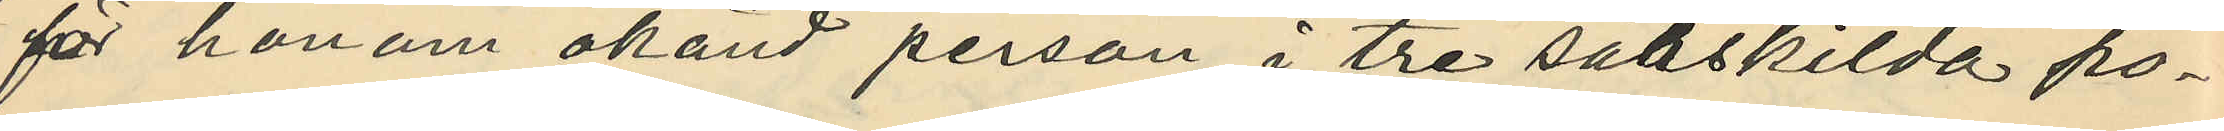för honom okänd person i tre särskilda po¬
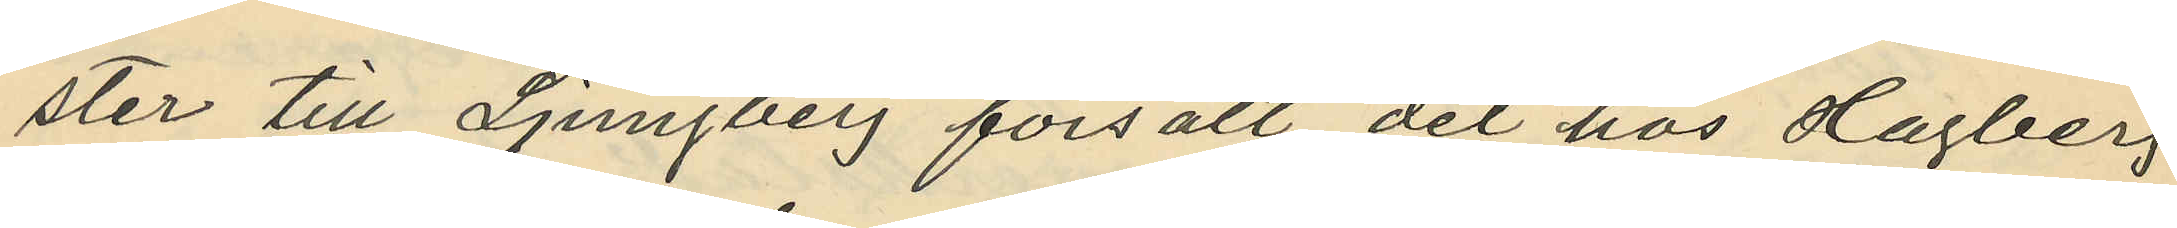ster till Ljungberg försålt det hos Hagberg
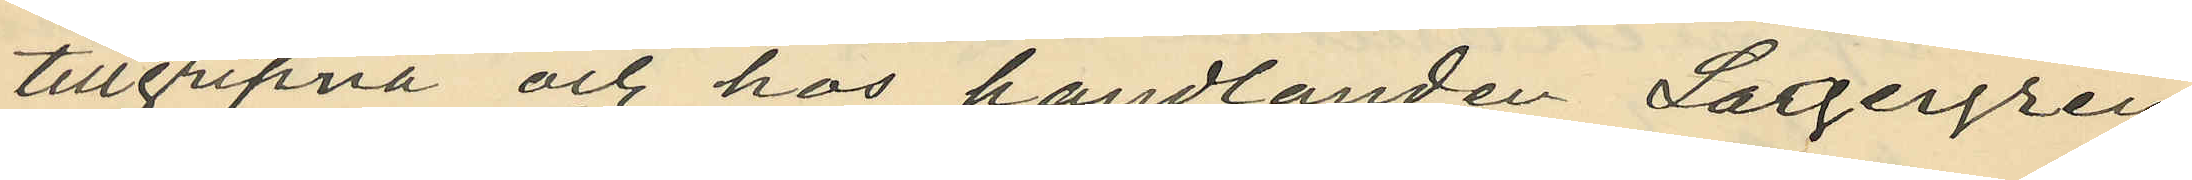tillgripna och hos handlanden Largergren
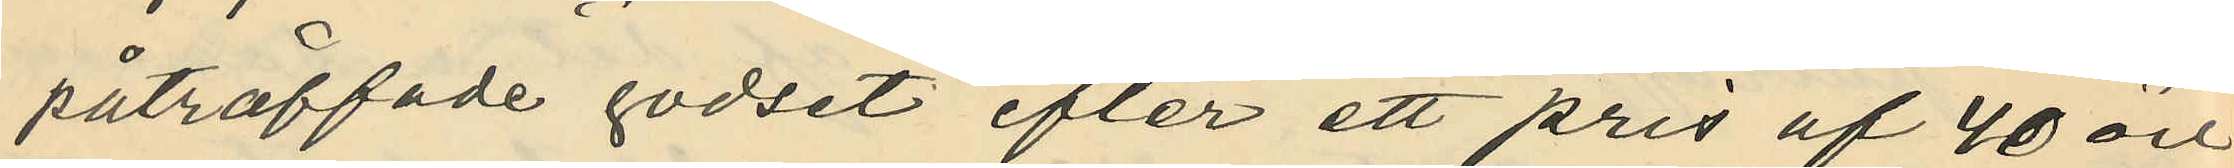påträffade godset efter ett pris af 40 öre
